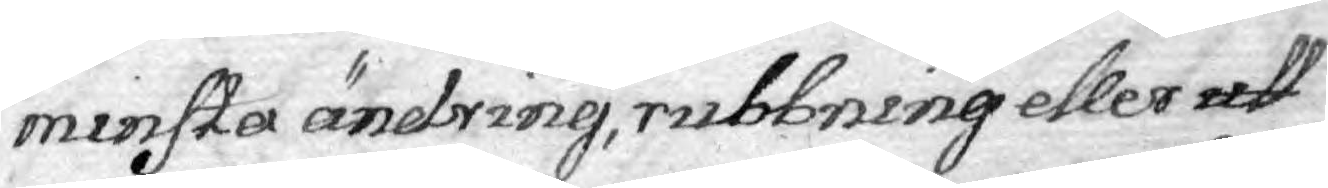minsta ändring, rubbning eller att
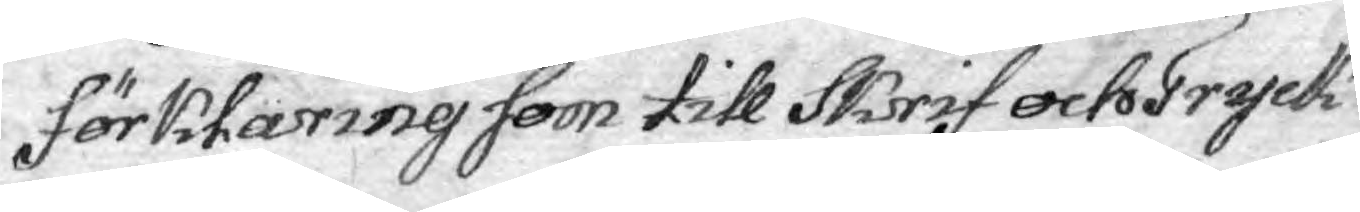förklaring som till Skrif och Tryck
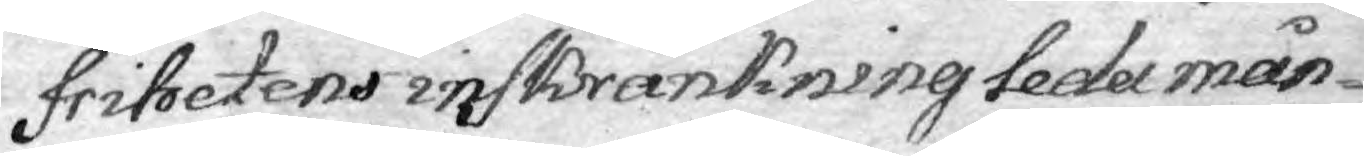frihetens inskränkning leda mån¬
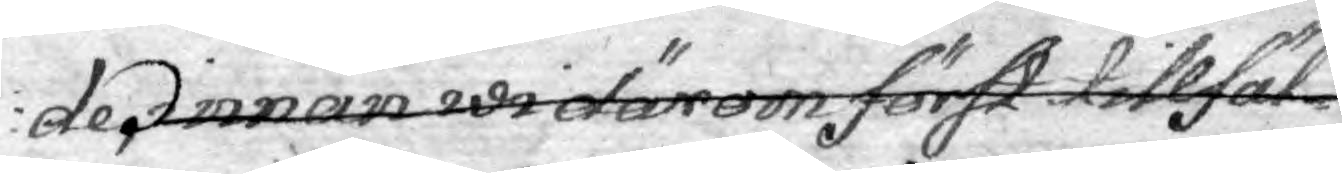de, innan wi därom först tillfäl¬
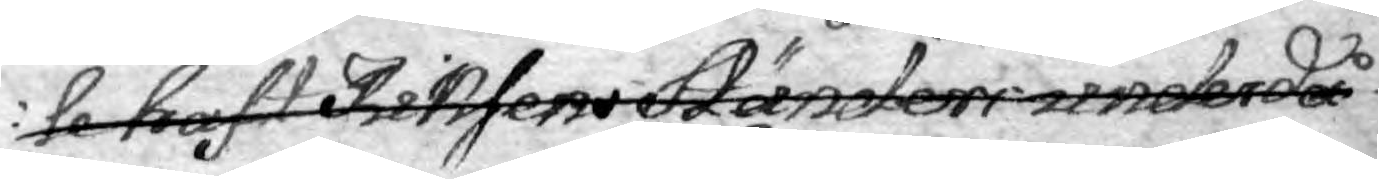le haft Riksens Ständer underdå¬
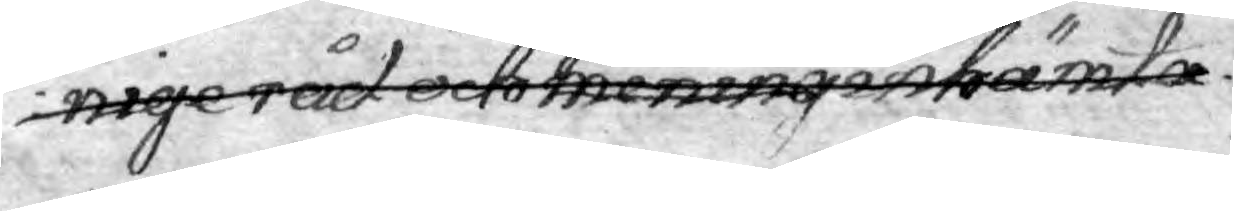nige råd och mening yttrande inhämta.
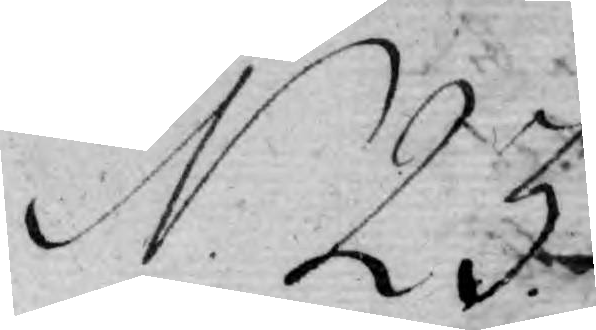N. 23.
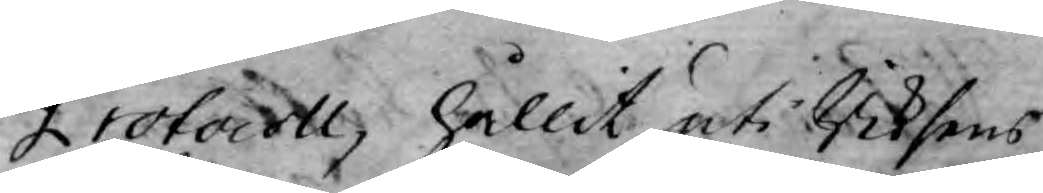Protocoll hållit uti Riksens
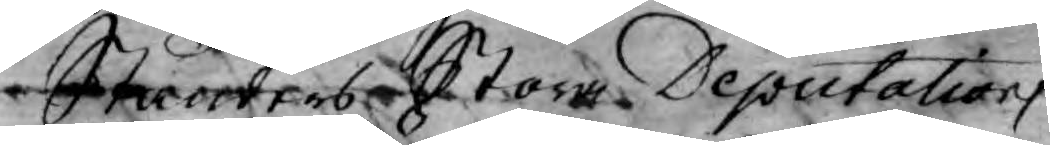Ständers Stora Deputations
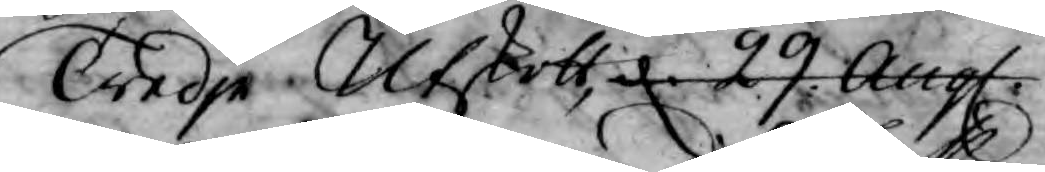Tredje Utskott d 29 Augl.
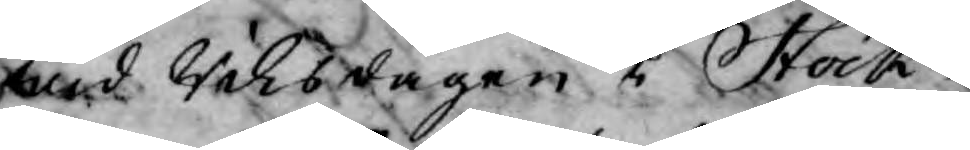wid Riksdagen i Stock¬
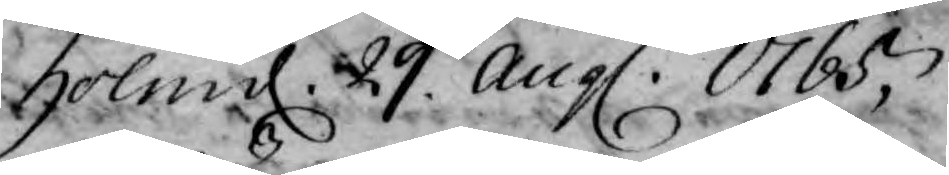holm d. 29. Augl. 1765,
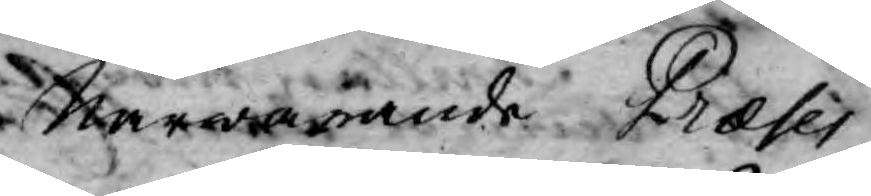Närwarande Præses
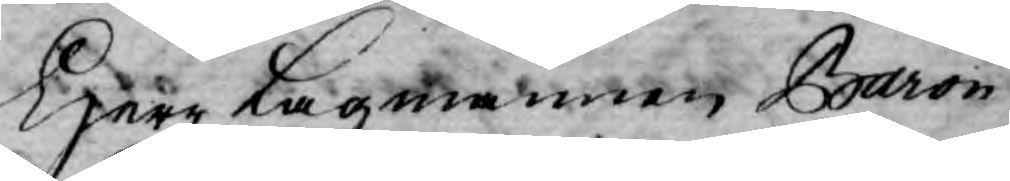Herr Lagmannen Baron
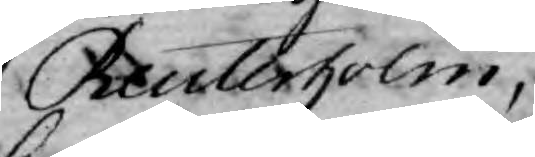Reuterholm,
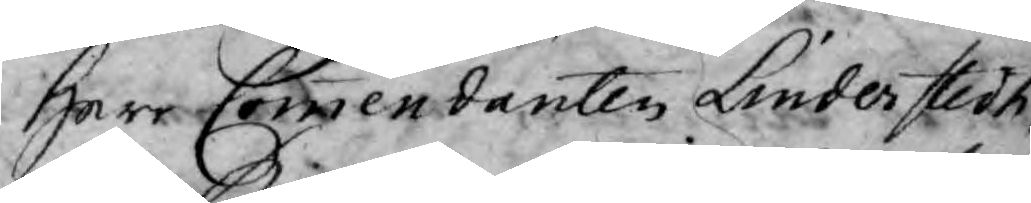Herr Commendanten Linderstedh
